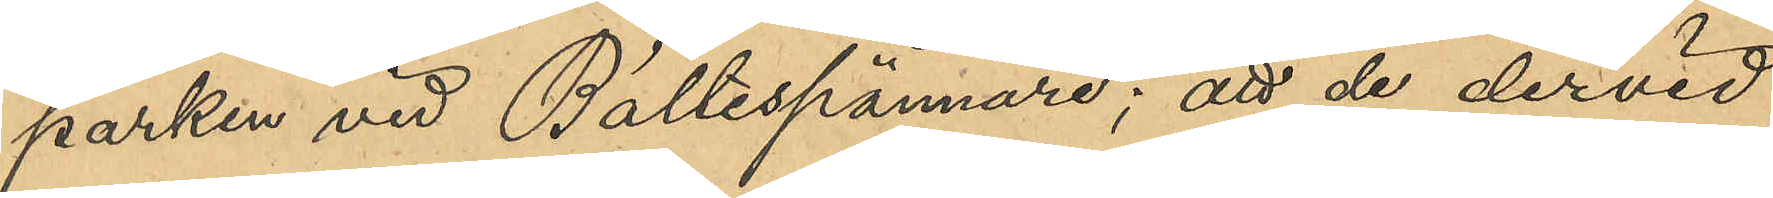parken vid Bältesspännare; att de dervid
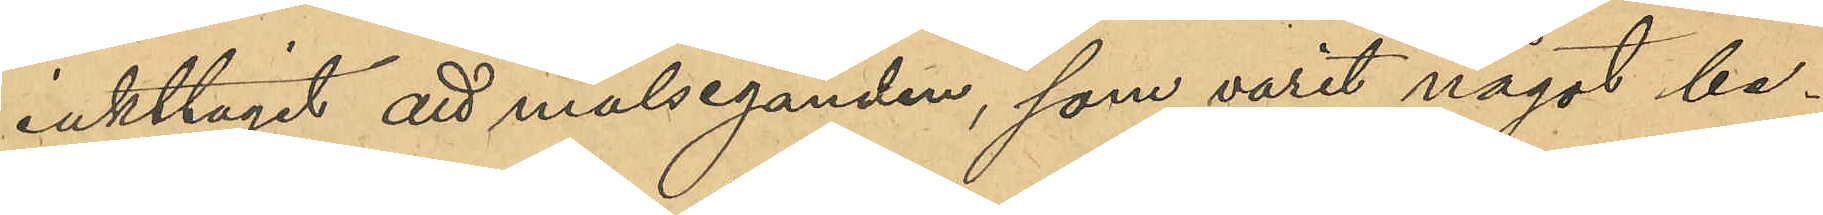iakttagit att målseganden, som varit något be¬
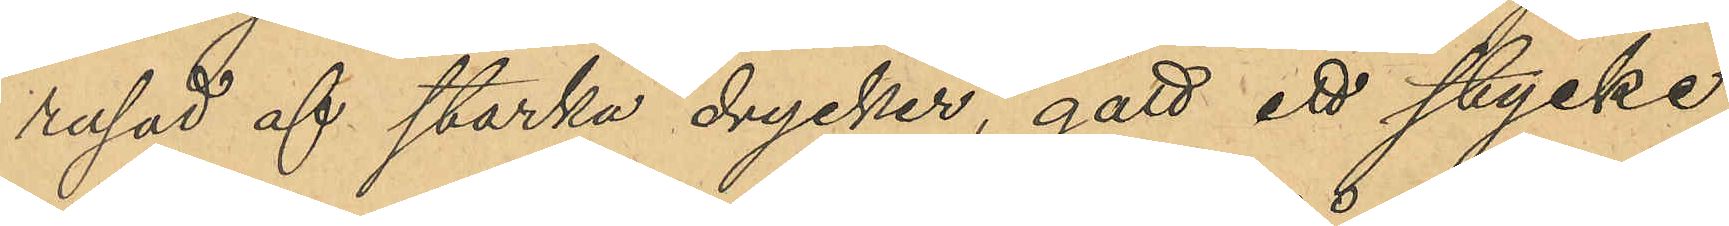rusad af starka drycker, gått ett stycke
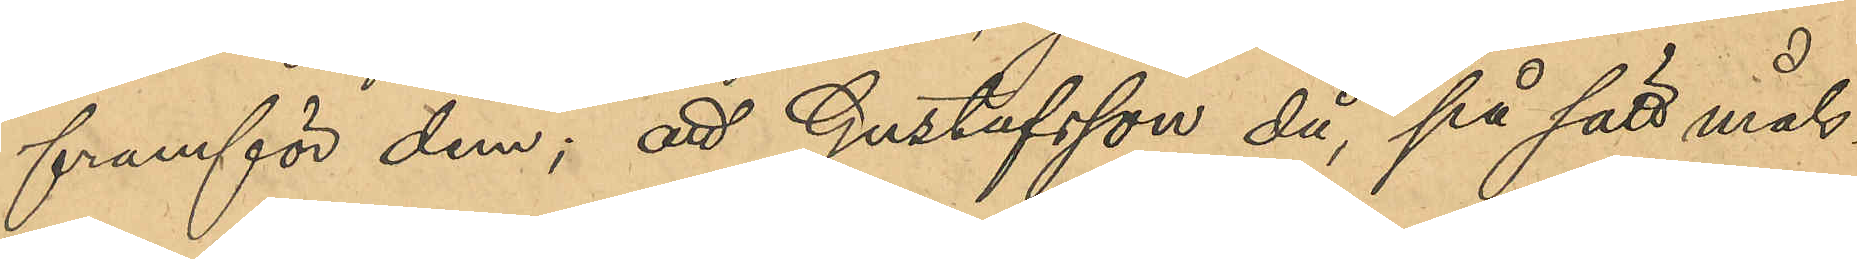framför dem; att Gustafsson då, på sätt måls¬
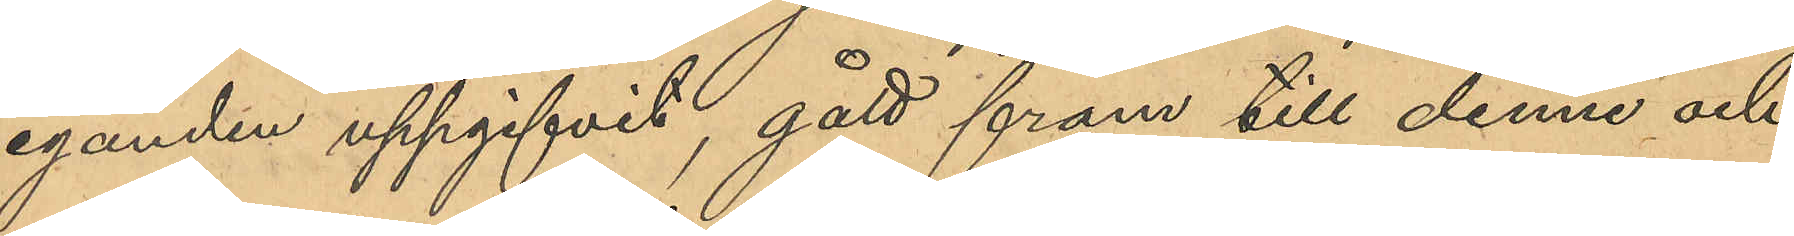eganden uppgifvit, gått fram till denne och
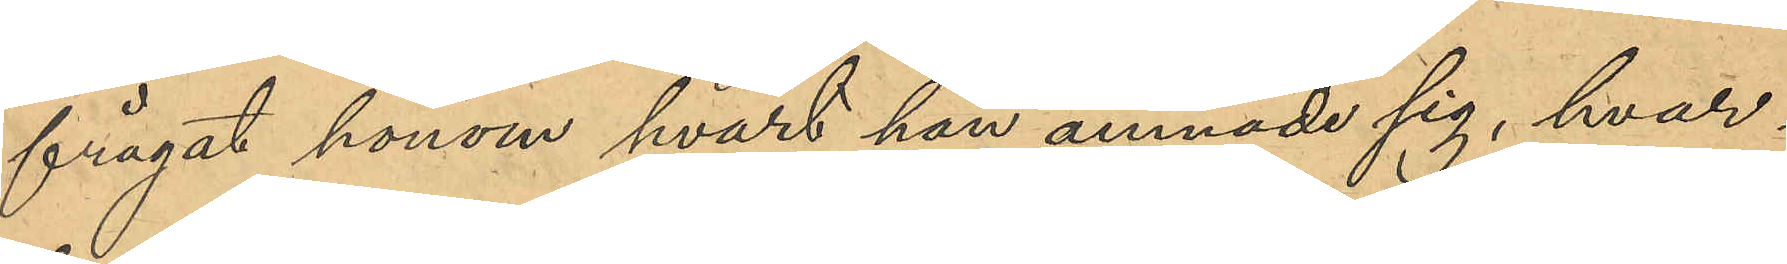frågat honom hvart han ämnade sig, hvar¬
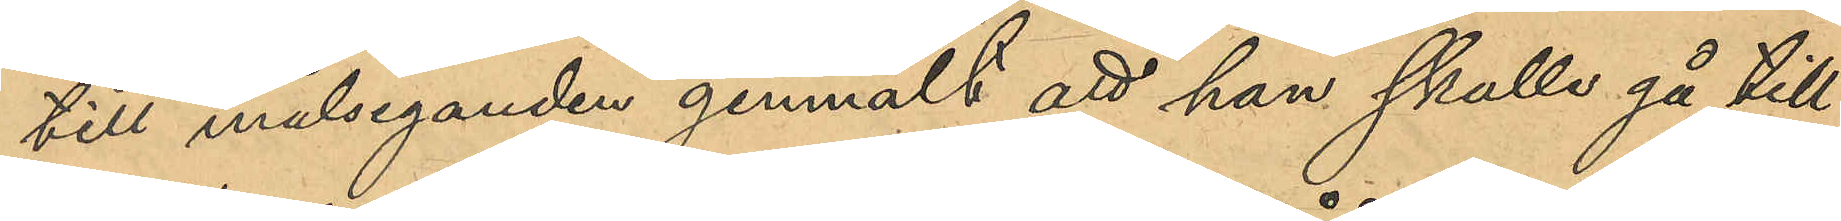till målseganden genmält att han skulle gå till
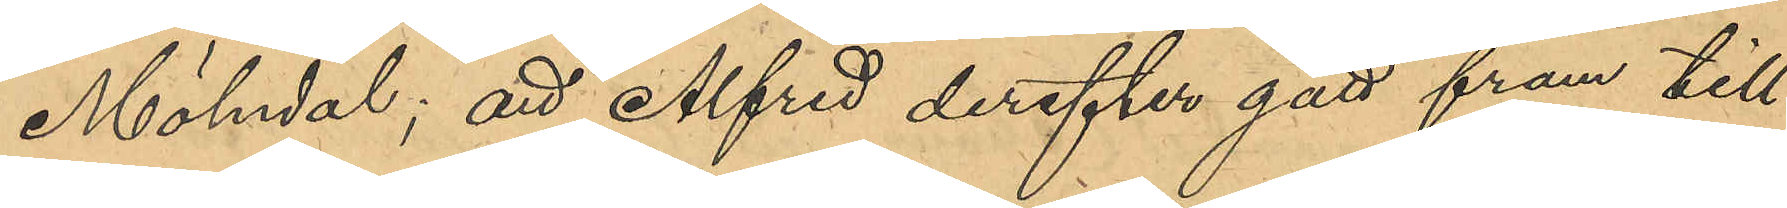Mölndal; att Alfred derefter gått fram till
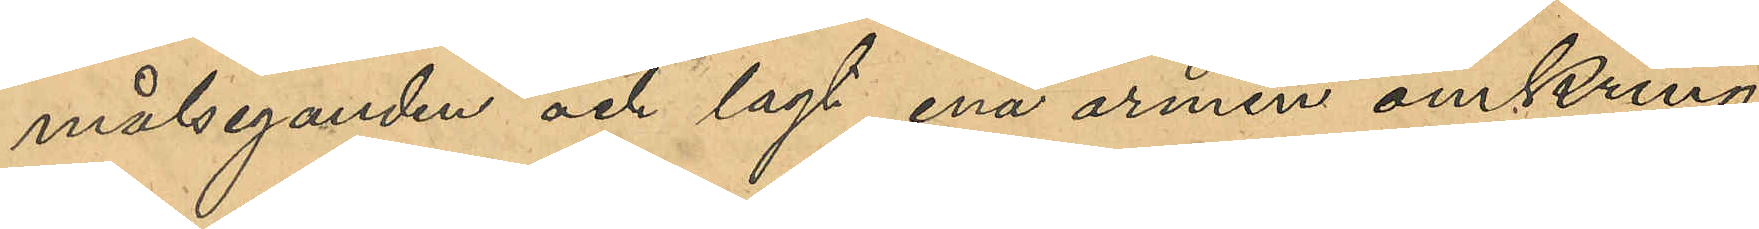målseganden och lagt armen omkring
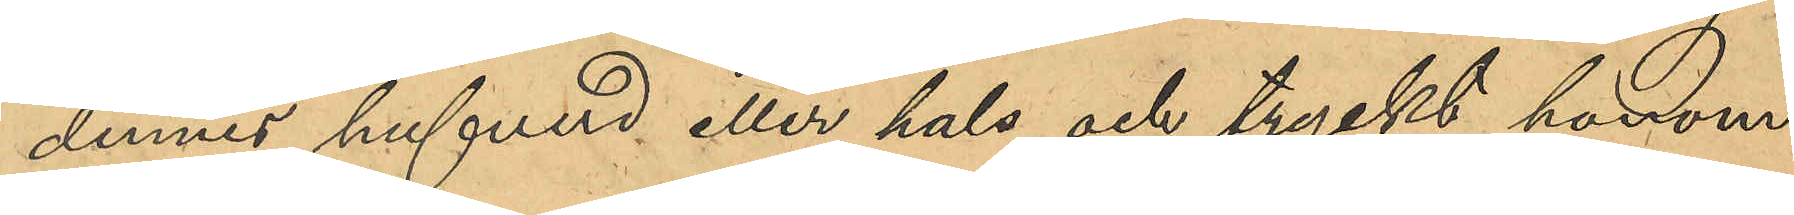dennes hufvud eller hals och tryckt honom
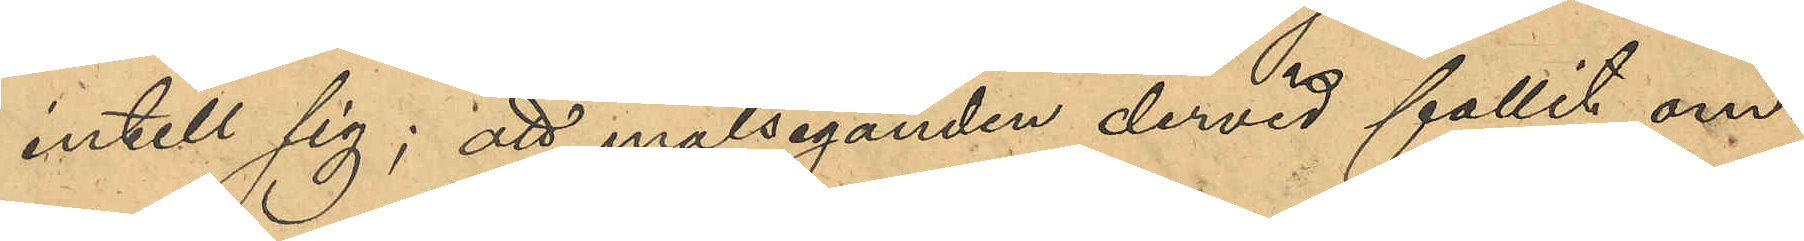intill sig; att målseganden dervid fallit om¬
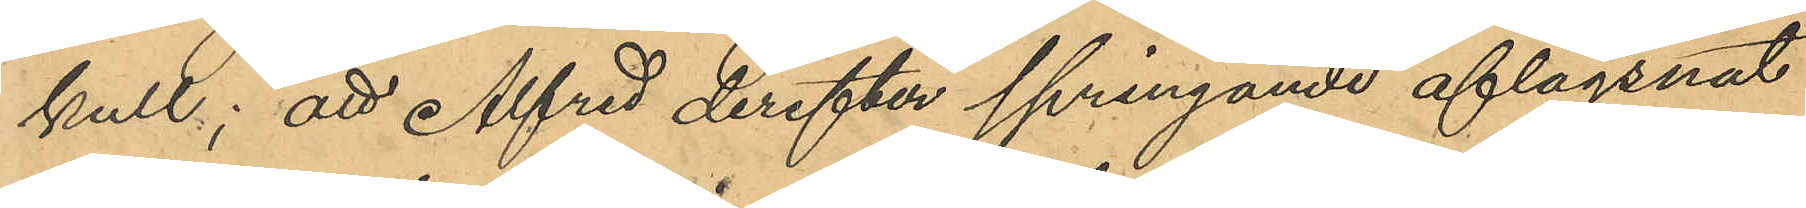kull; att Alfred derefter springande aflägsnat
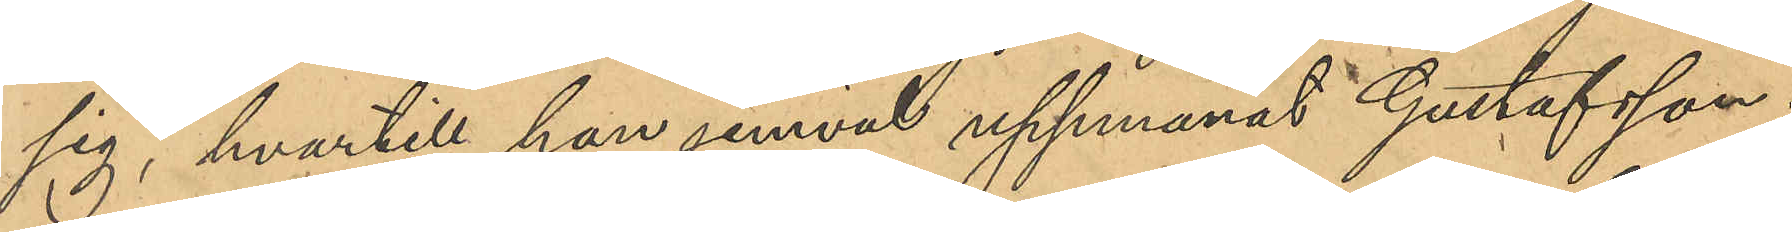sig, hvartill han jemväl upphunnit Gustafsson;
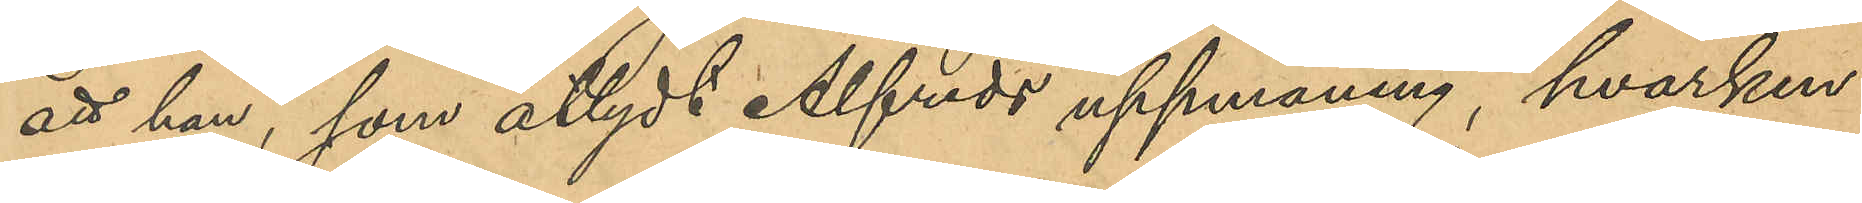att han, som åtlydt Alfreds uppmaning, hvarken
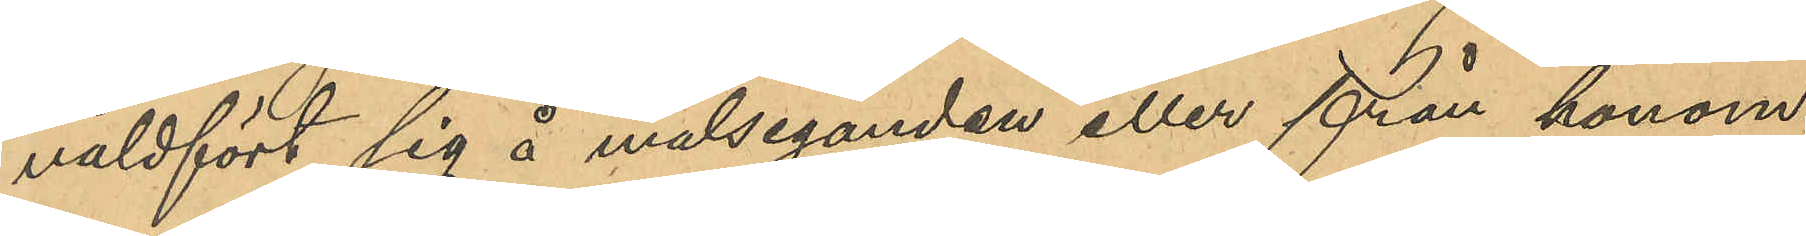våldfört sig å målseganden eller från honom
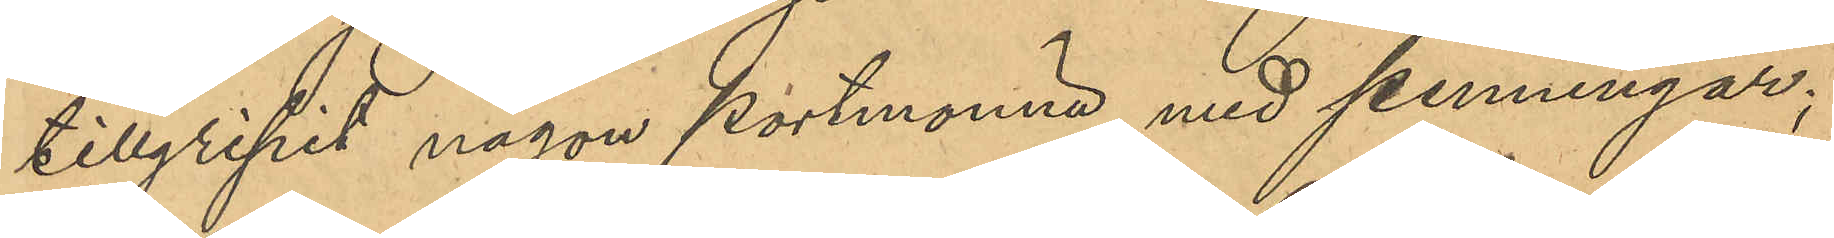tillgripit någon portmonnä med penningar;
